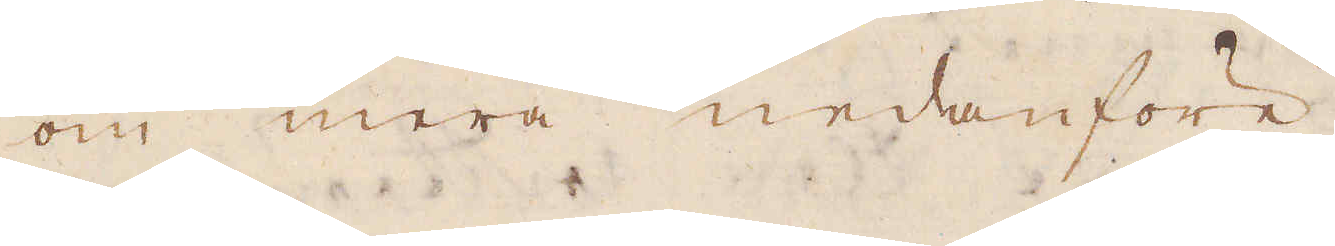om mera nedanföre.
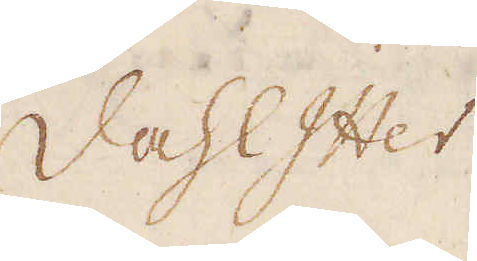DahlItter
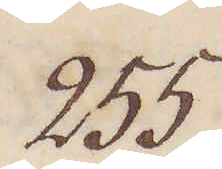255.
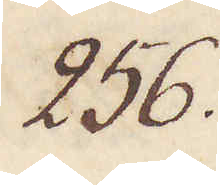256.
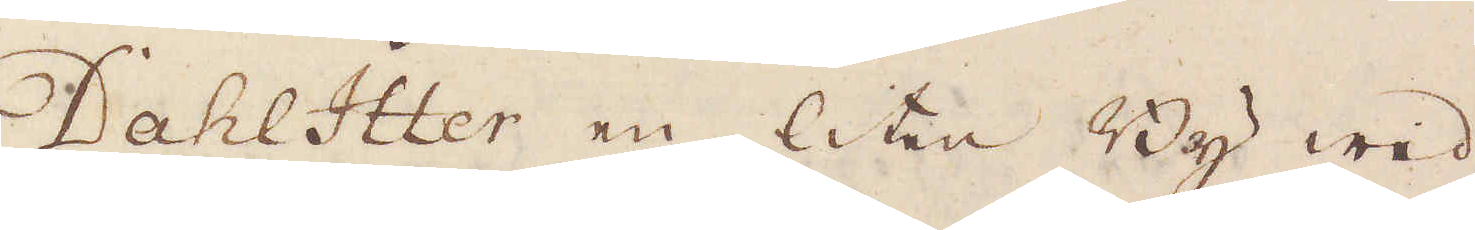DahlItter en liten By wed
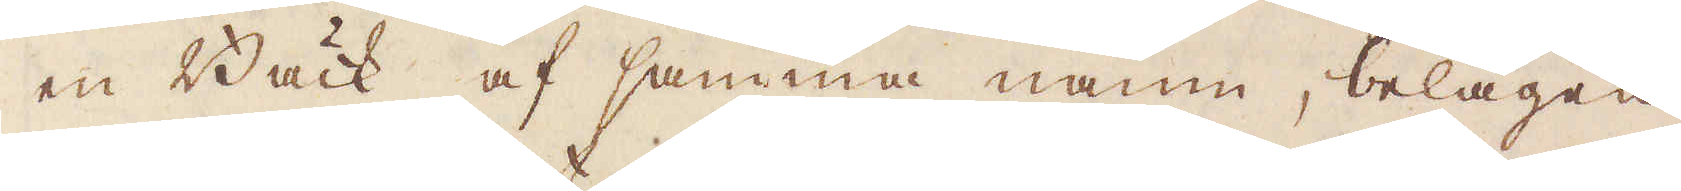en Bäck af samma namn, belägen
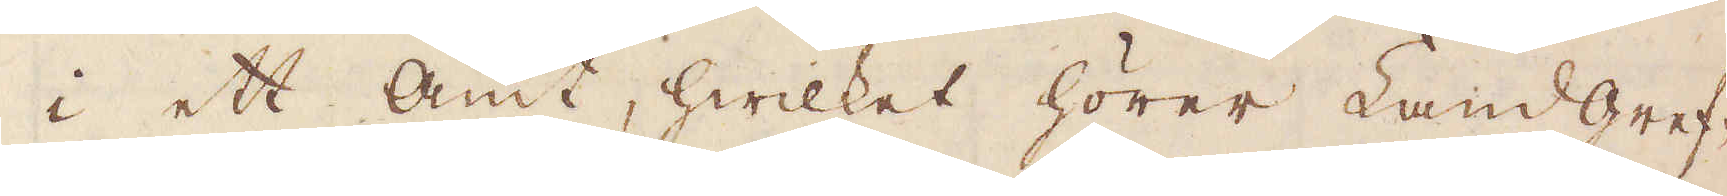i ett amt, hwilket hörer Landgref-
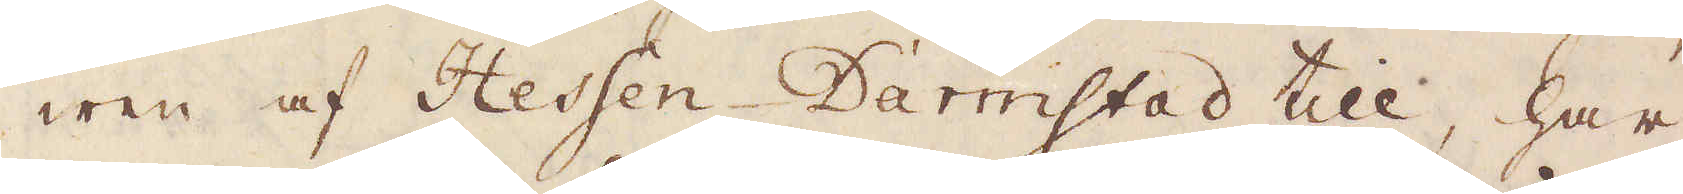wen af Hessen-Darmstad till, har
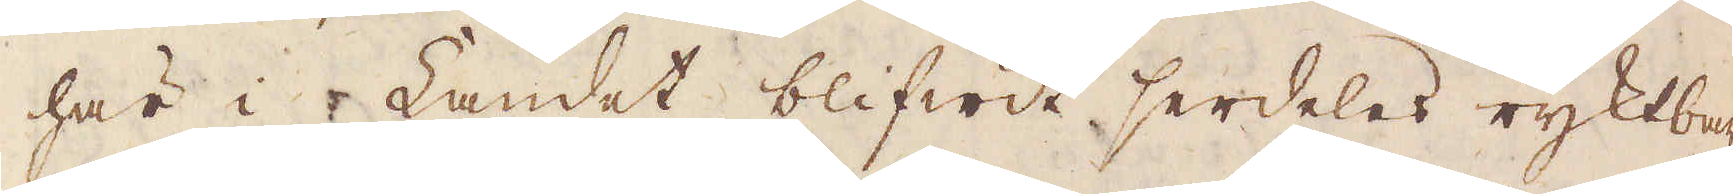här i Landet blifwit serdeles ryktbar
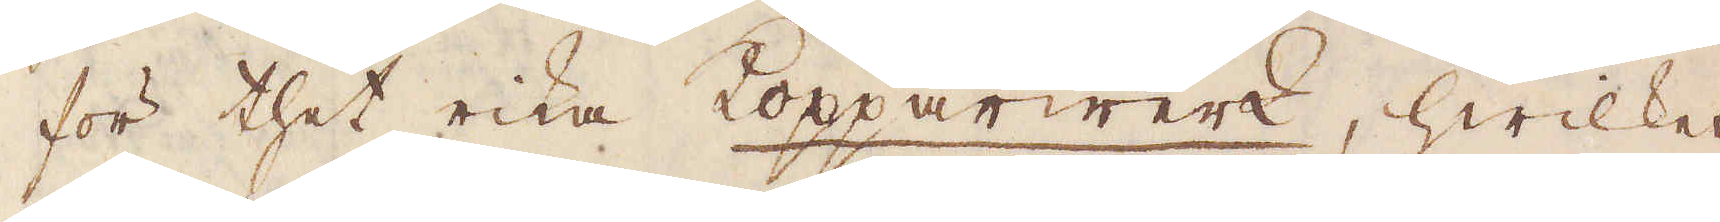för thet rika Kopparwerk, hwilket
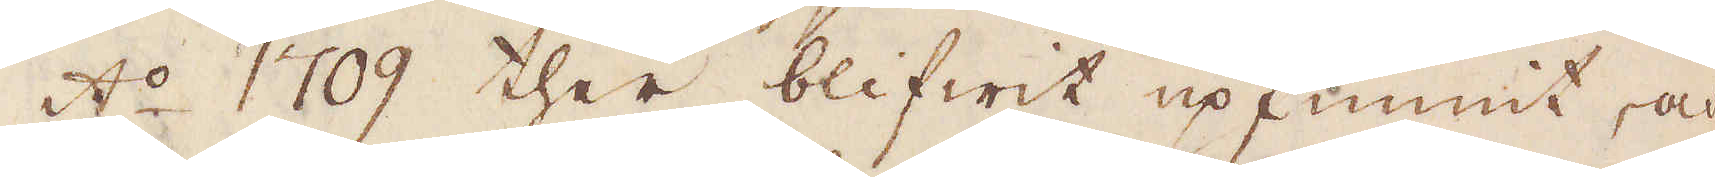A:o 1709 ther blifwit upfunnit, och
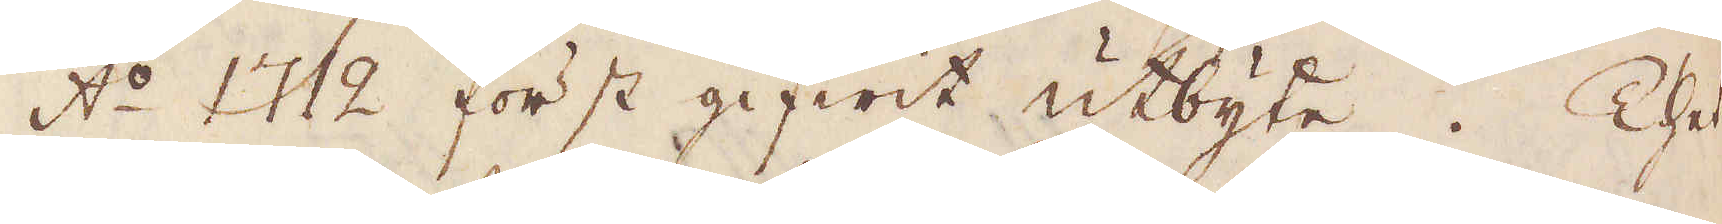A:o 1712 först gifwit utbyte. Thet
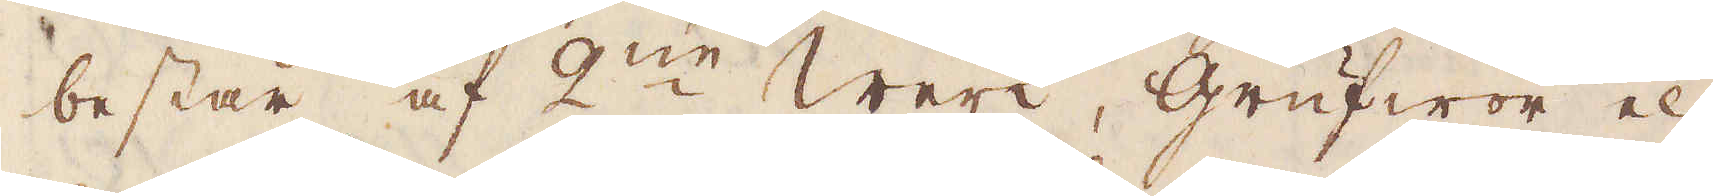består af 2:ne Werk, Grufwor el-
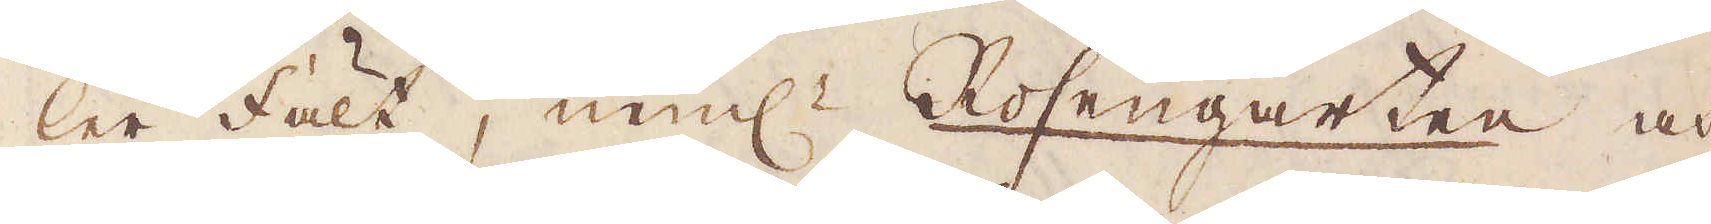ler fält, neml: Rosengarten och
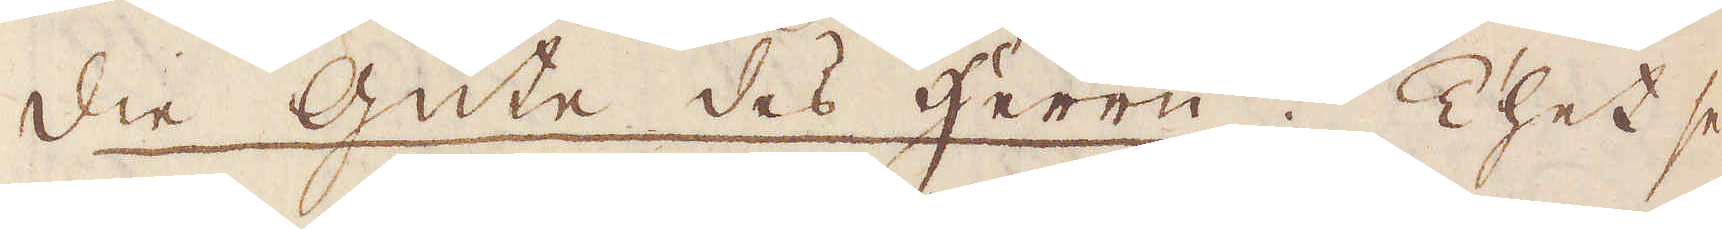die Güte des herrn. Thet se-
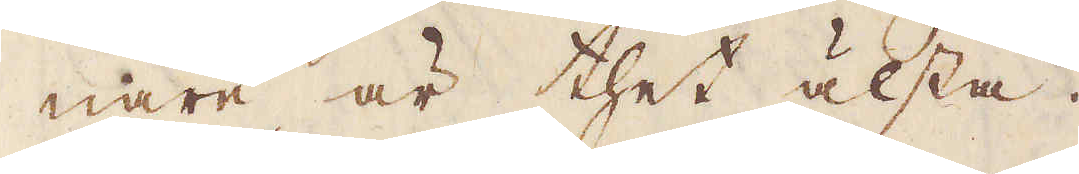nare är thet älsta.
